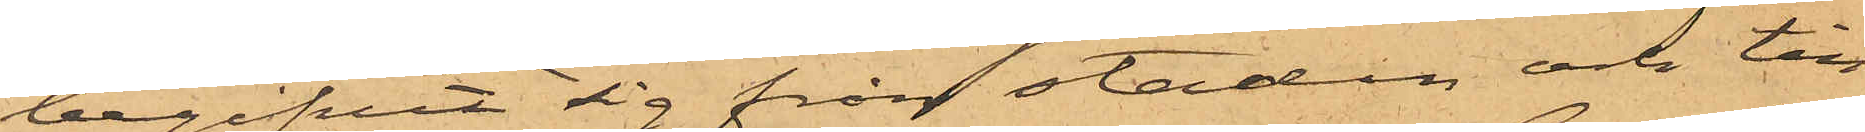begifvit sig från staden och till
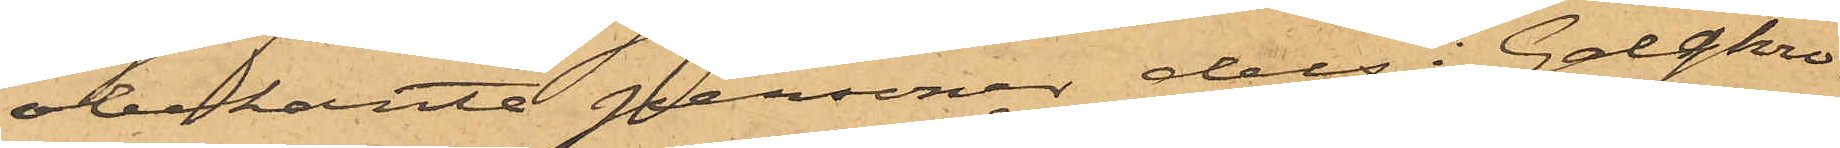obekante personer dels i Galgkro¬
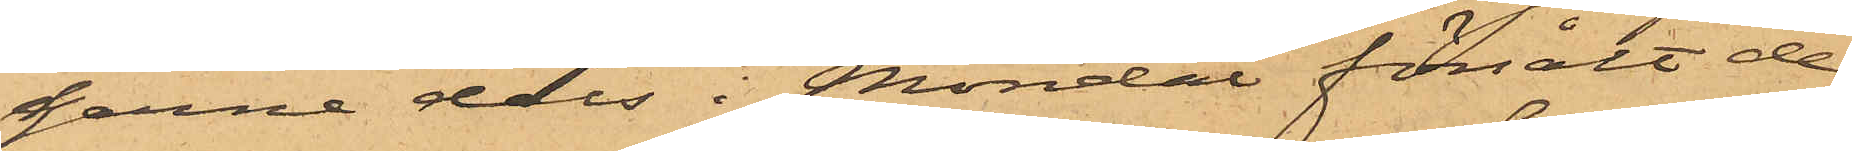garne dels i Möndal försålt de
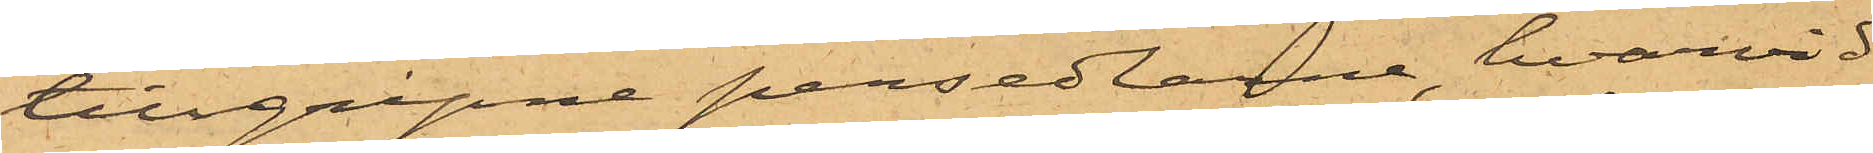tillgripne persedlarne, hvarvid
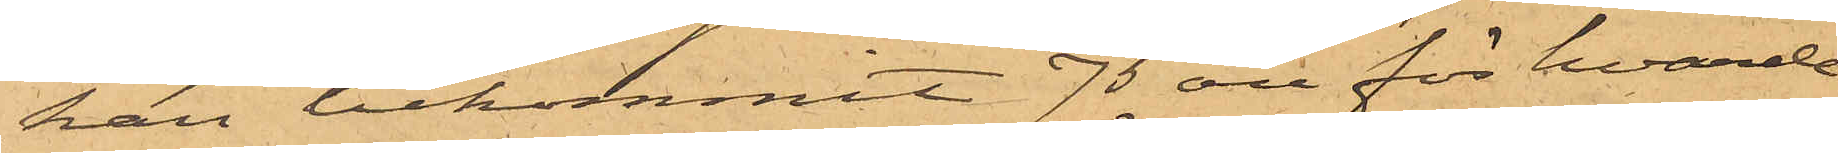han bekommit 75 öre för hvarde¬
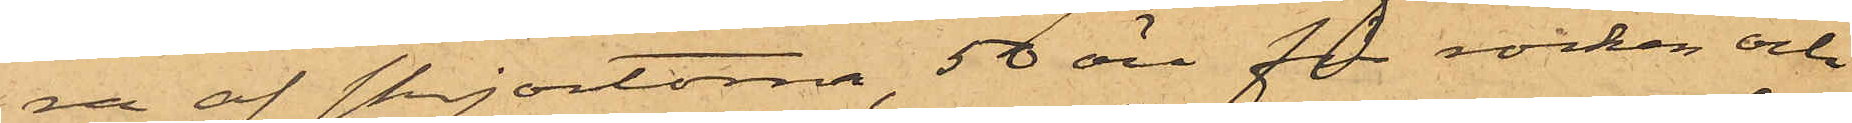ra af skjortorna, 50 öre för rocken och
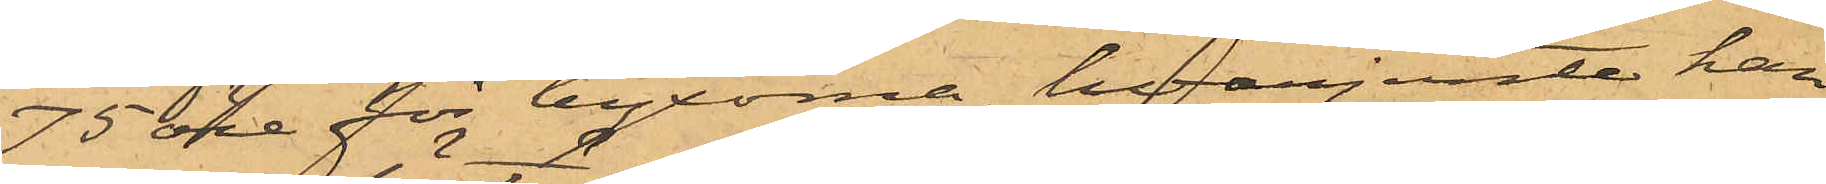75 öre för byxorna, hvarjemte han
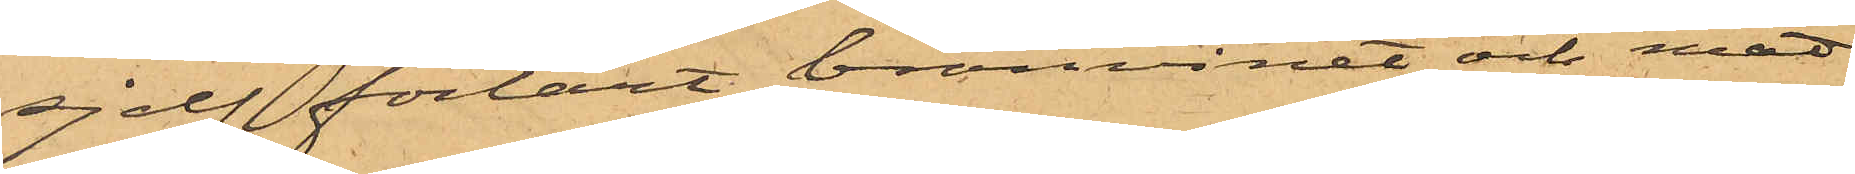sjelf förtärt bränvinet och mat¬
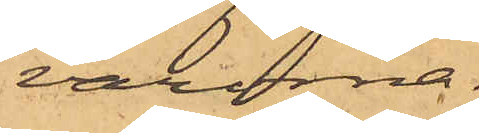varorna.
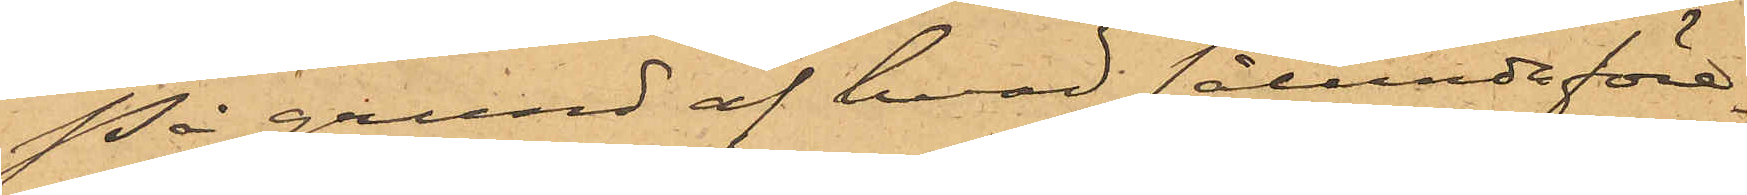På grund af hvad sålunda före¬
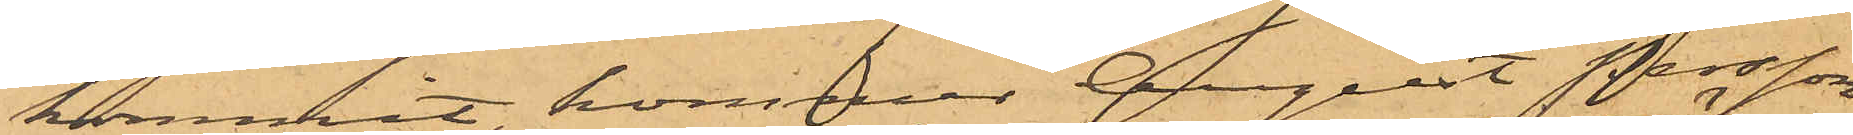kommit, kommer August Persson
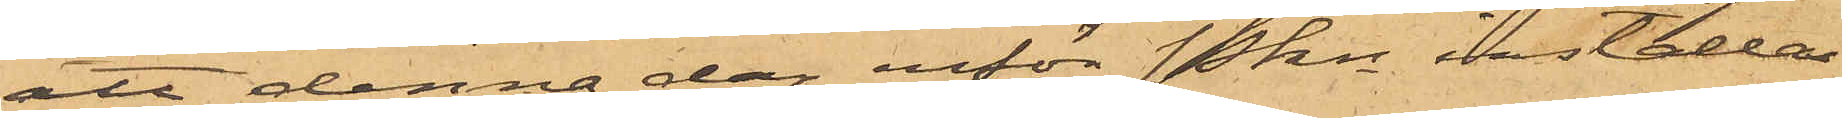att denna dag inför Pkn inställas.
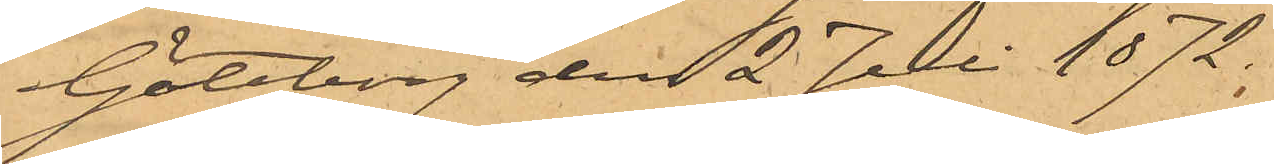Göteborg den 2 Juli 1872.
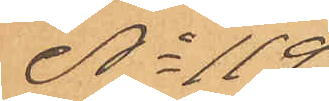No 119
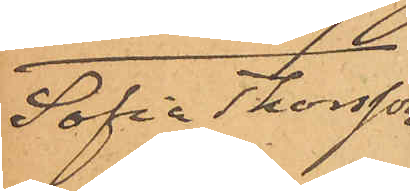Sofia Thorson
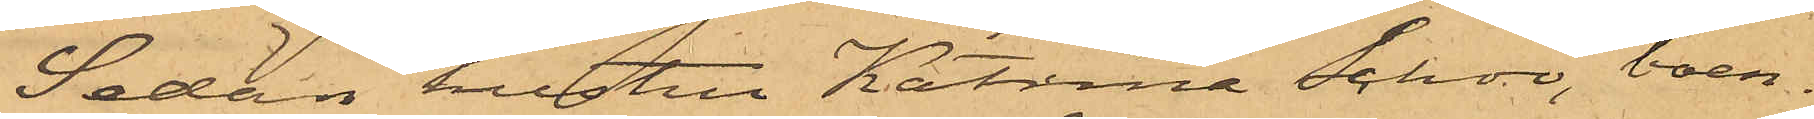Sedan hustru Katrina Schoo, boen¬
